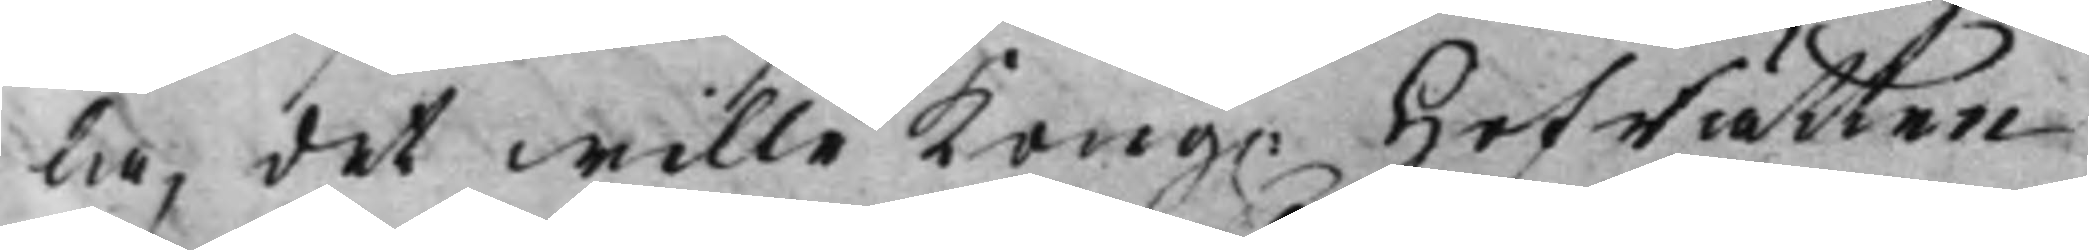la, det wille Kong. HofRätten
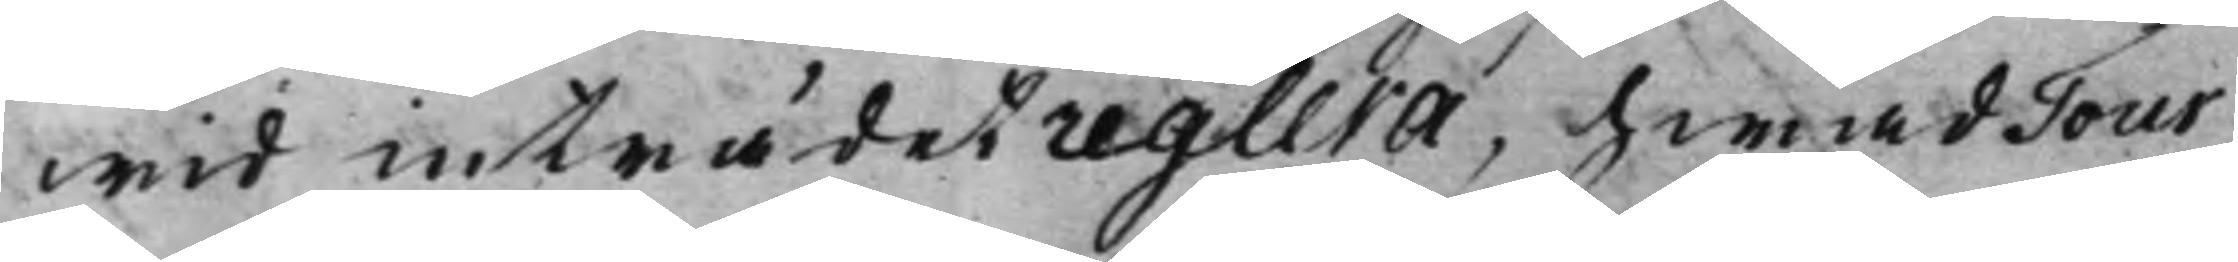wid inträdet reglera, hwad Tour
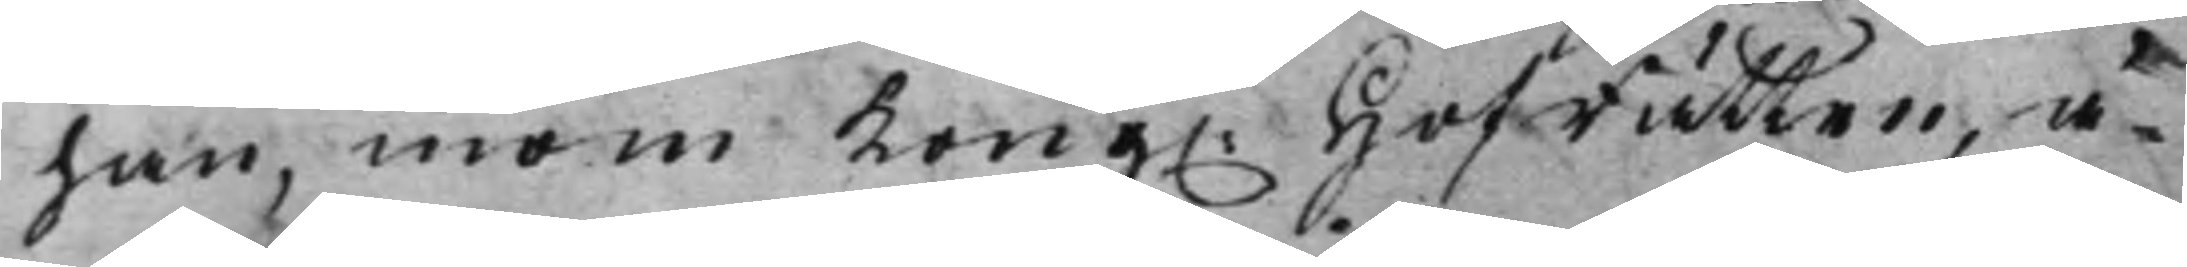han, inom Kong. HofRätten, ä¬
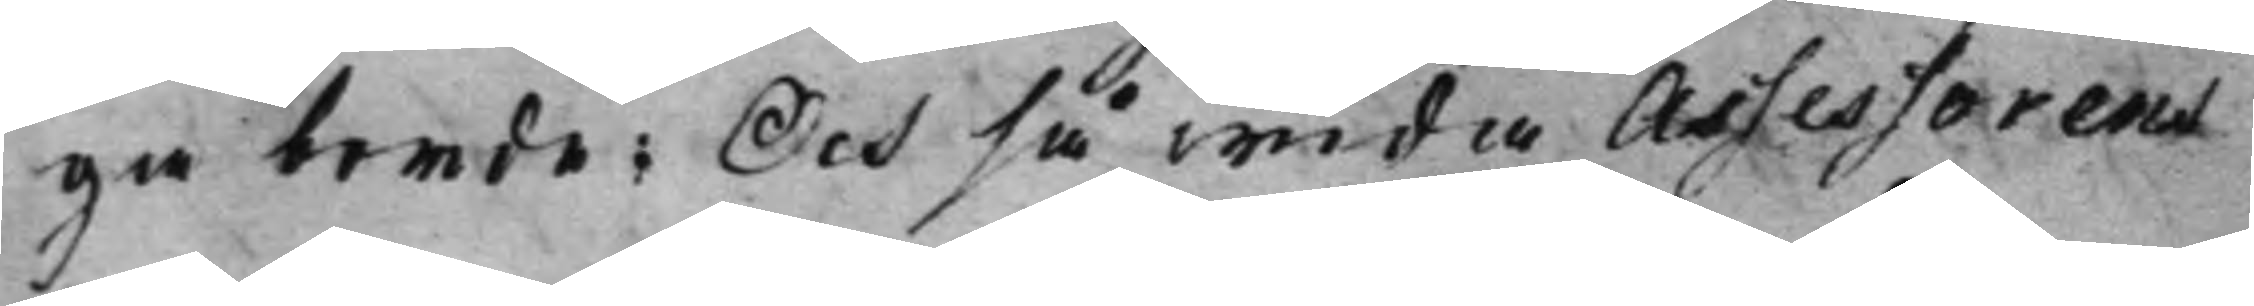ga borde; Och så wida Assessorens
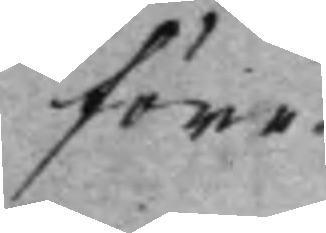före¬
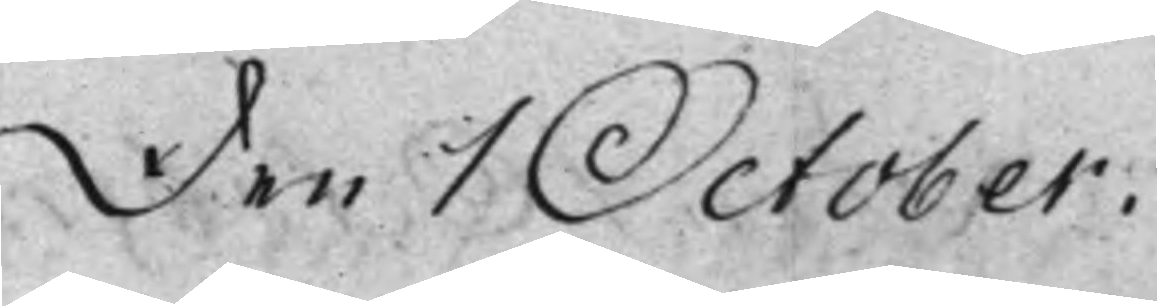Den 1 October.
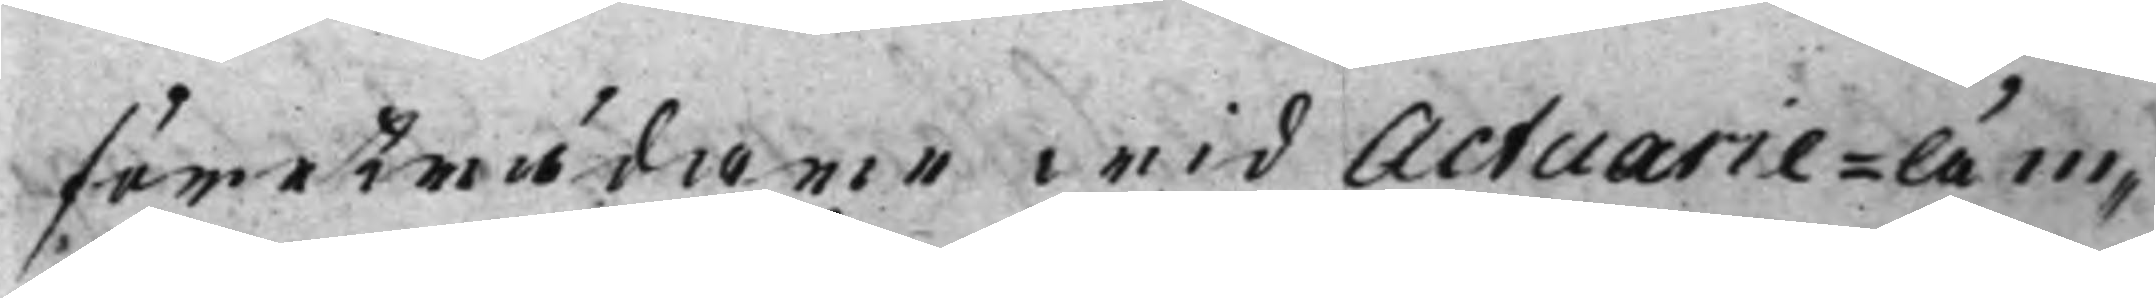företrädare wid Actuarie-äm¬
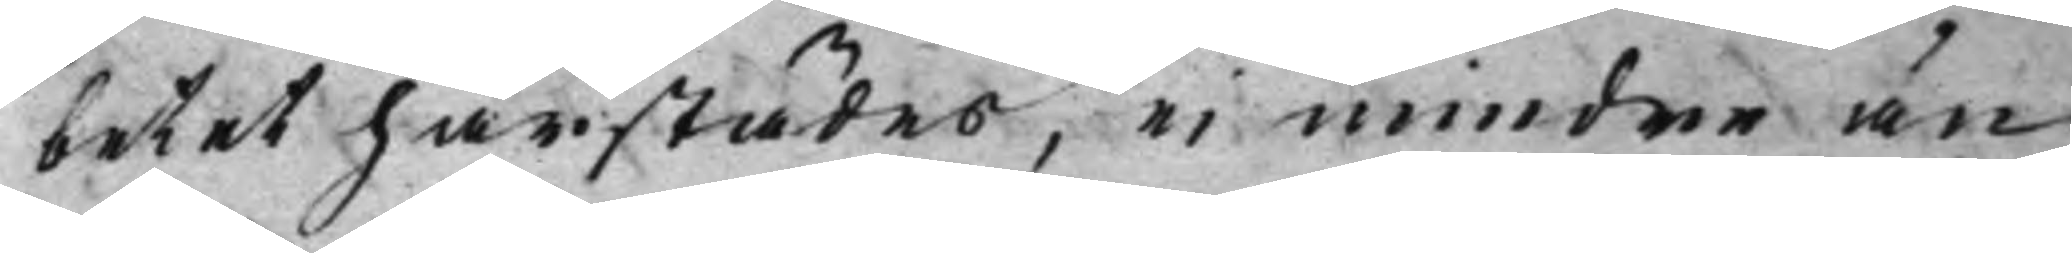betet härstädes, ei mindre än
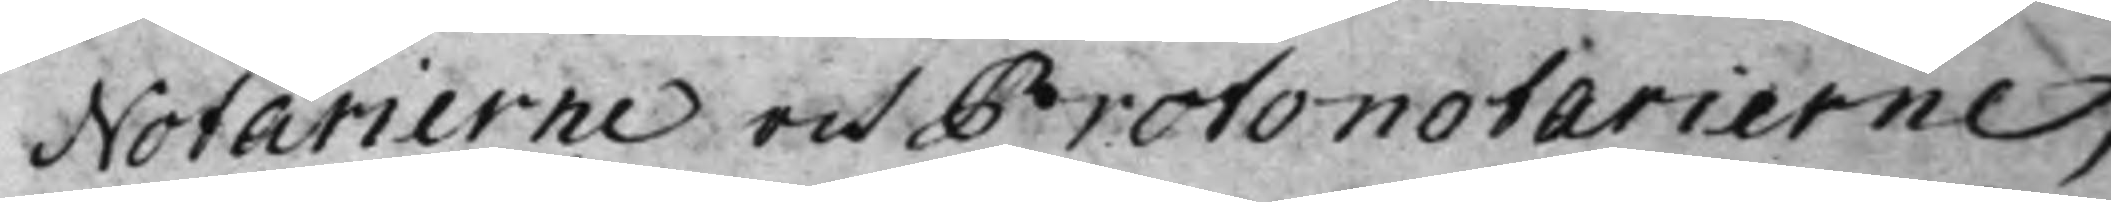Notarierne och Protonotarierne,
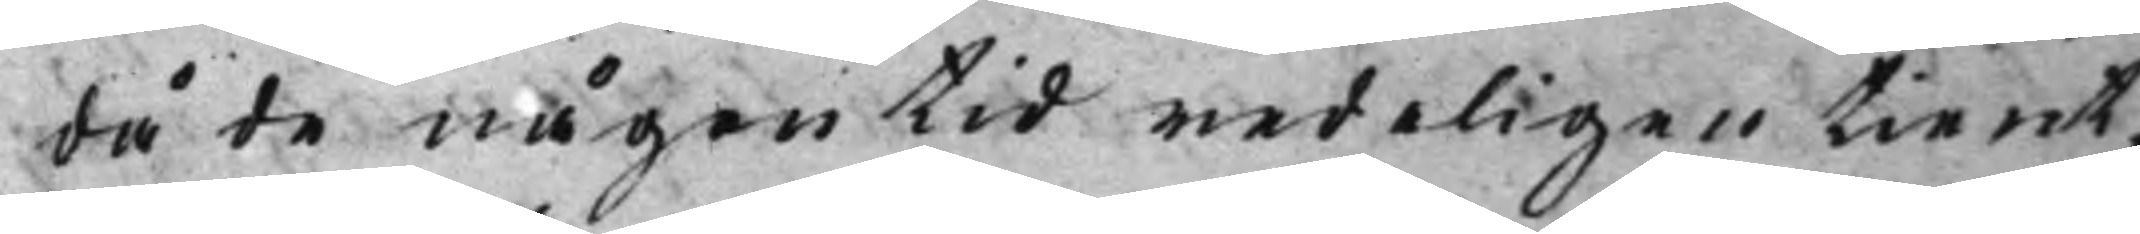då de någon tid redeligen tient,
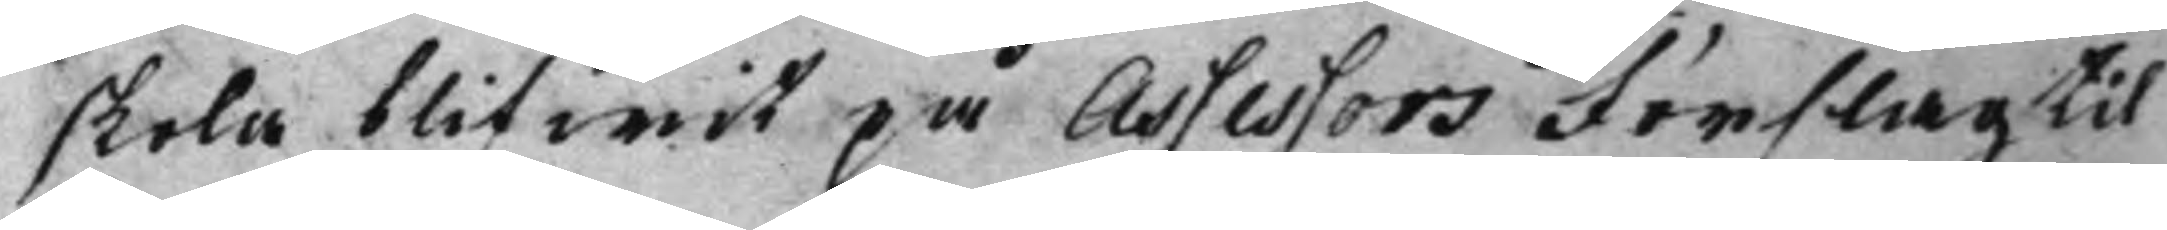skola blifwit på Assessors Förslag til
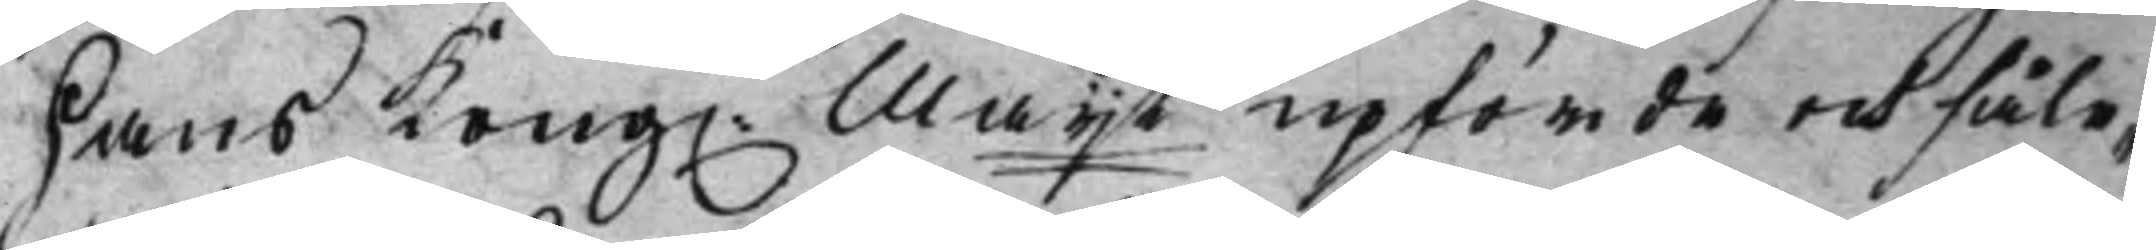Hans Kong. Maijt upförde och såle¬
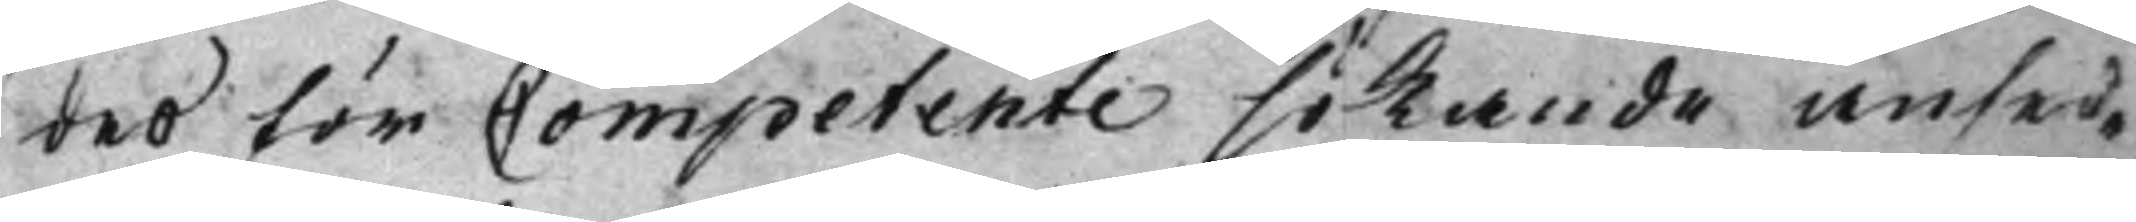des för Competente sökande ansed¬
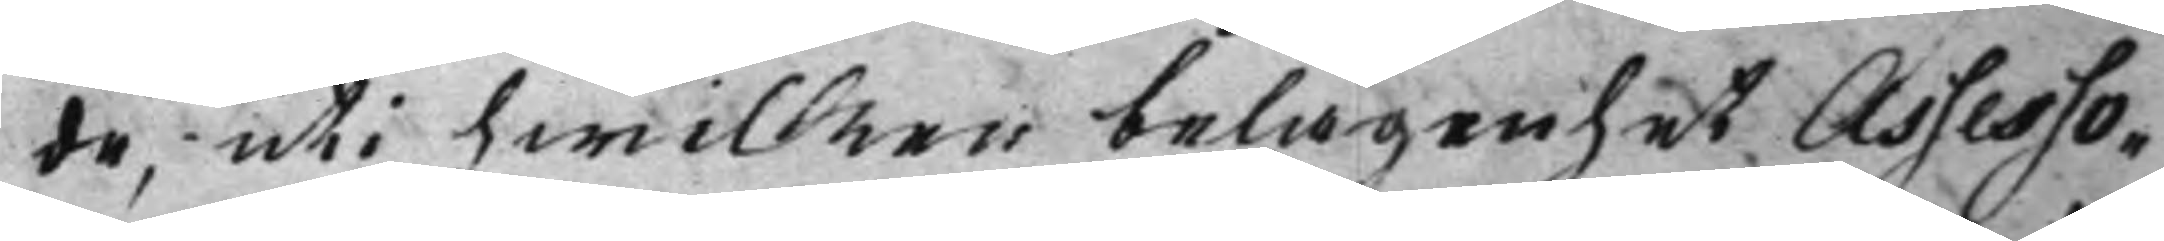de, uti hwilken belägenhet Assesso¬
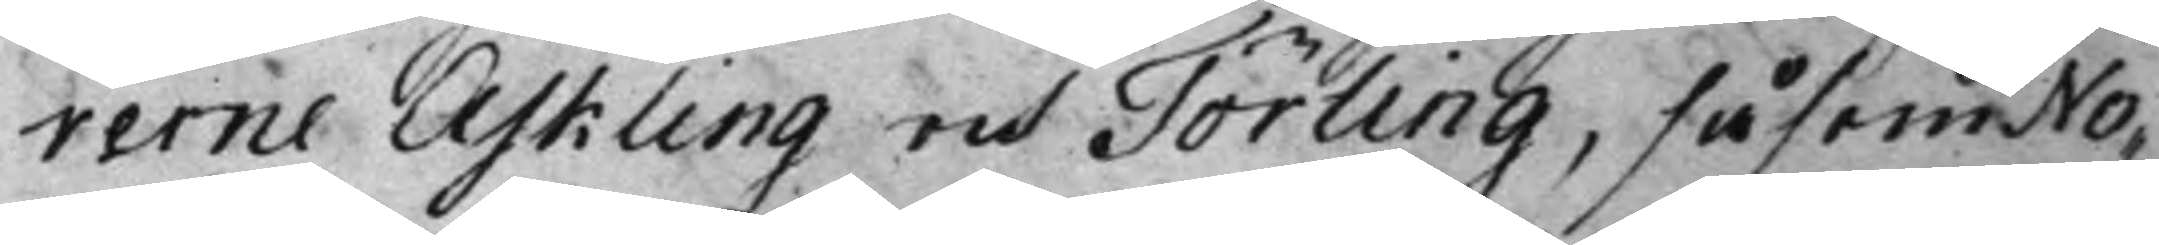rerne Askling och Törling, såsom No¬
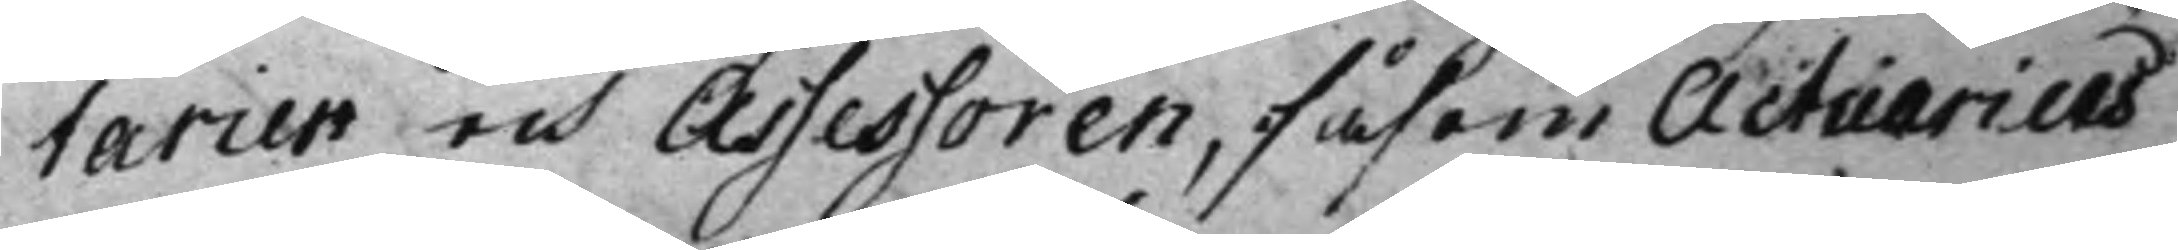tarier och Assessoren, såsom Actuarius
